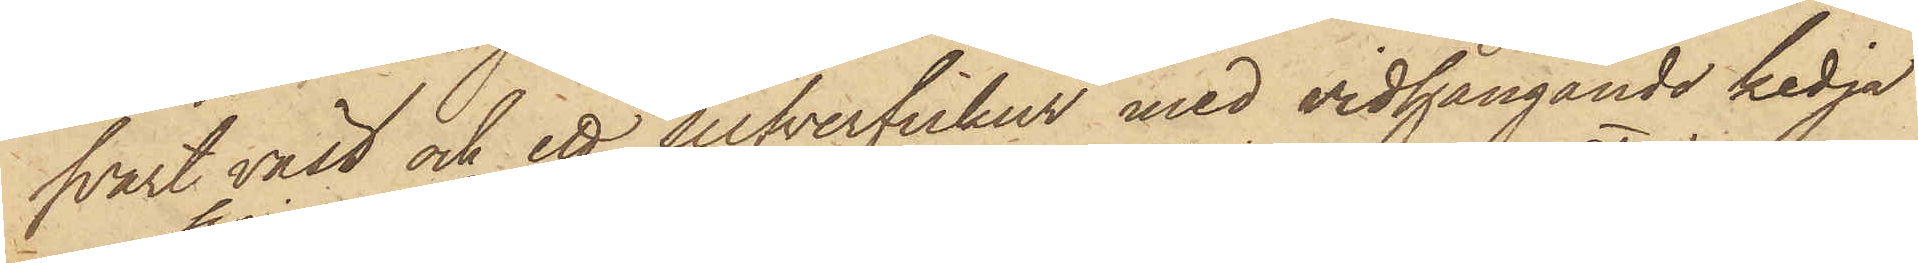svart väst och ett silfverfickur med vidhängande kedja
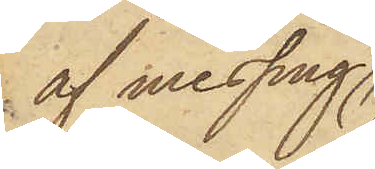af messing,
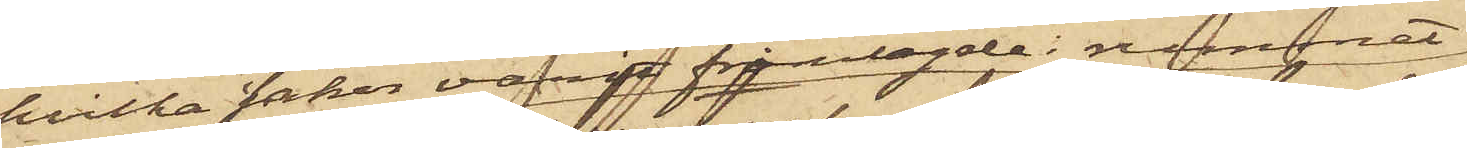hvilka saker varit framlagde i rummet,
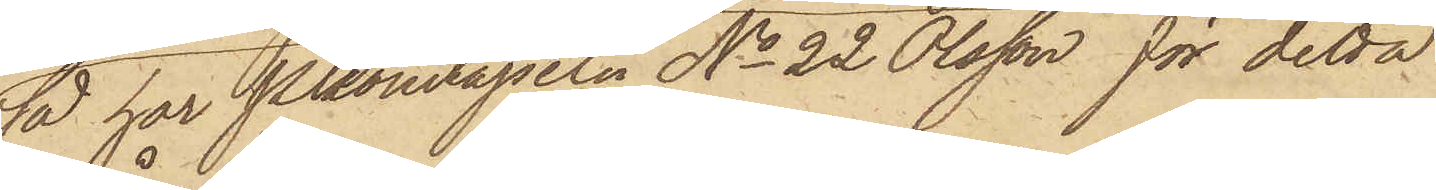så har Pkonstapeln No 22 Olsson för detta
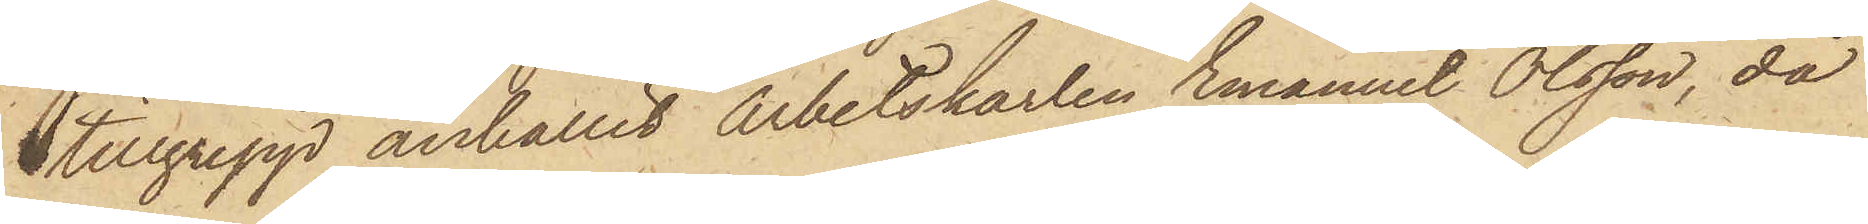tillgrepp anhållit Arbetskarlen Emanuel Olsson, då
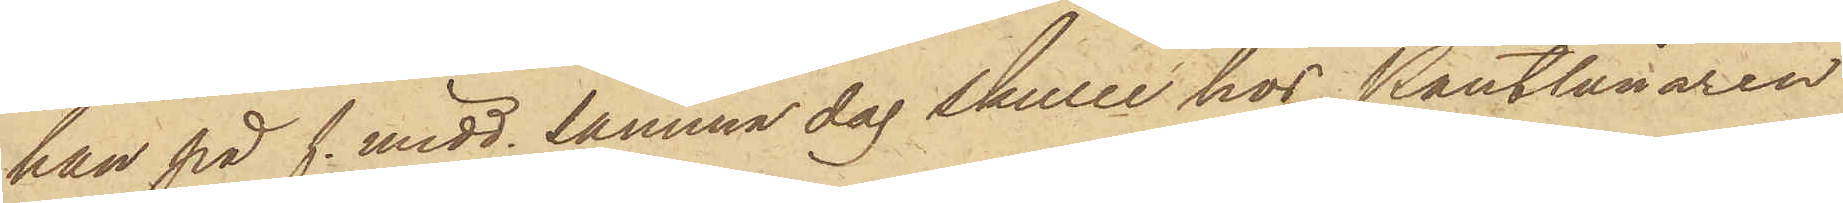han på f. midd. samma dag skulle hos Pantlånaren
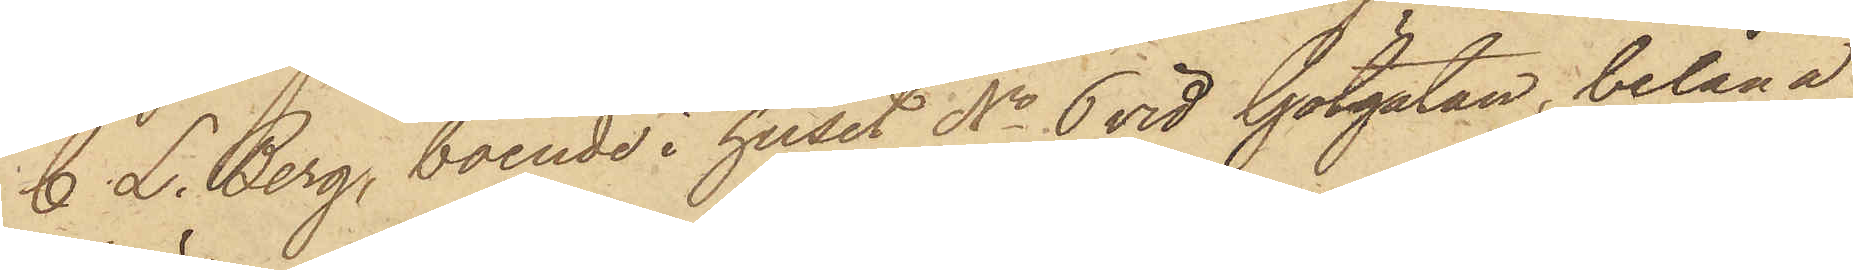C. L. Berg, boende i huset No 6 vid Götgatan, belåna
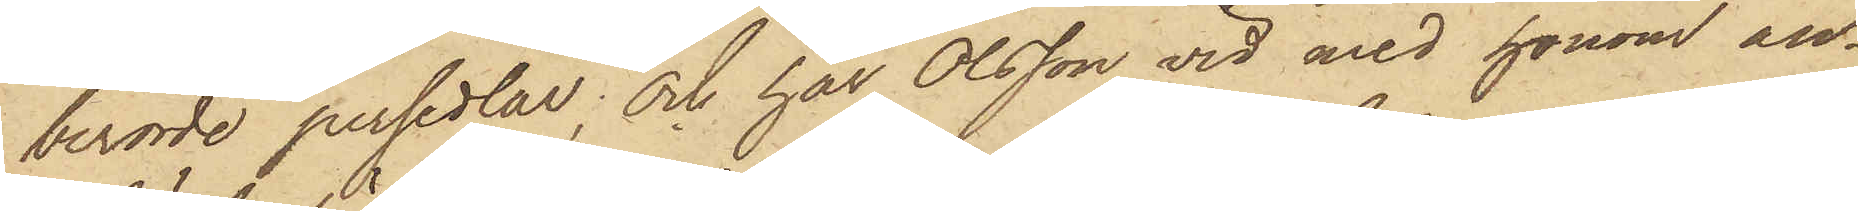berörde persedlar; och har Olsson vid med honom an¬
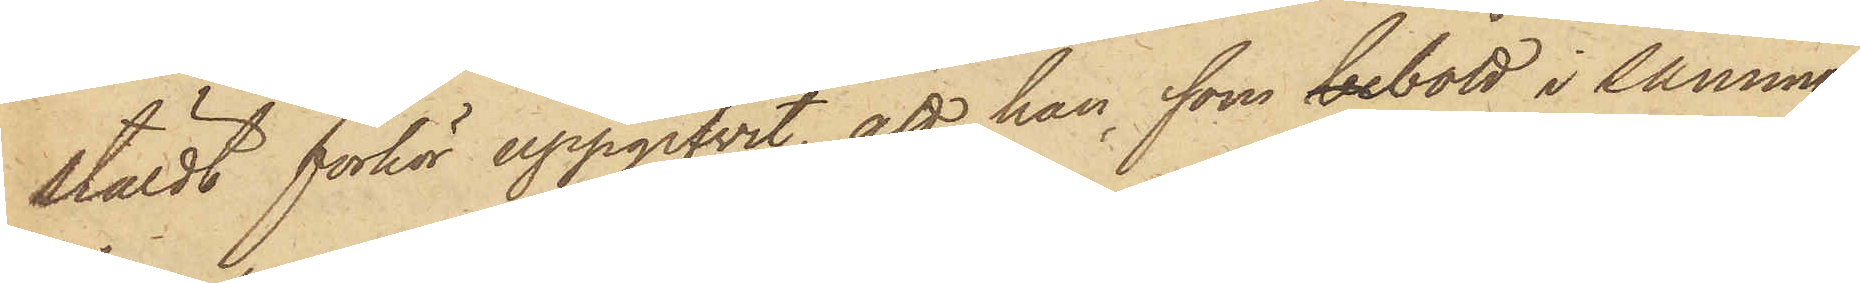stäldt förhör uppgifvit, att han, som bebott i samma
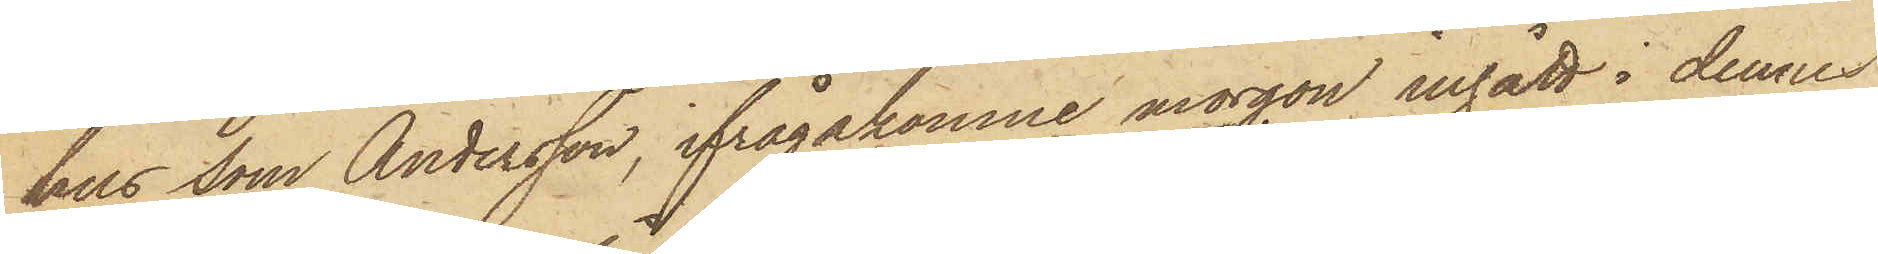hus som Andersson, ifrågakomne morgon ingått i dennes
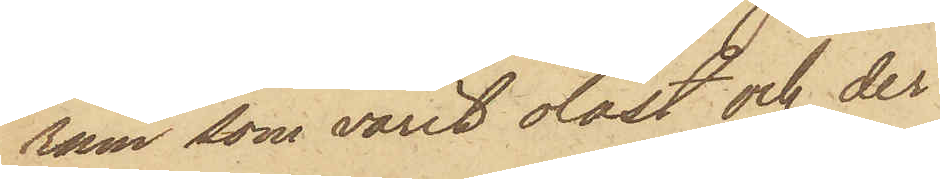rum, som varit olåst och der
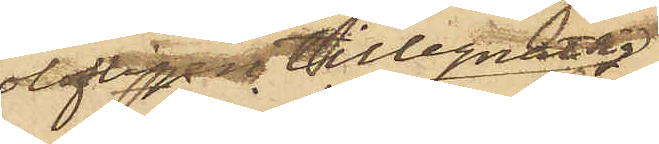olofligen tillegnat sig
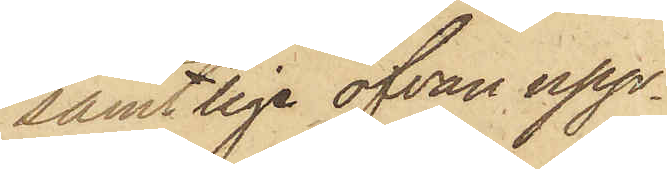samtliga ofvan upp¬
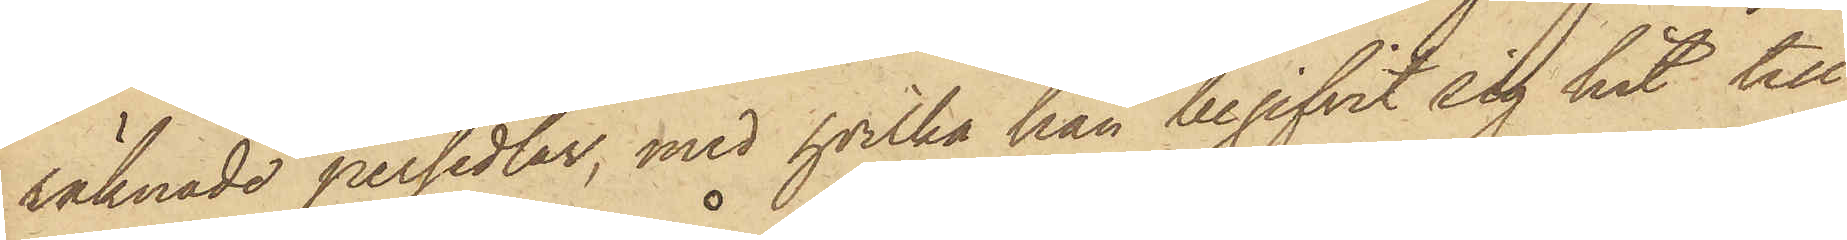räknade persedlar, med hvilka han begifvit sig hit till
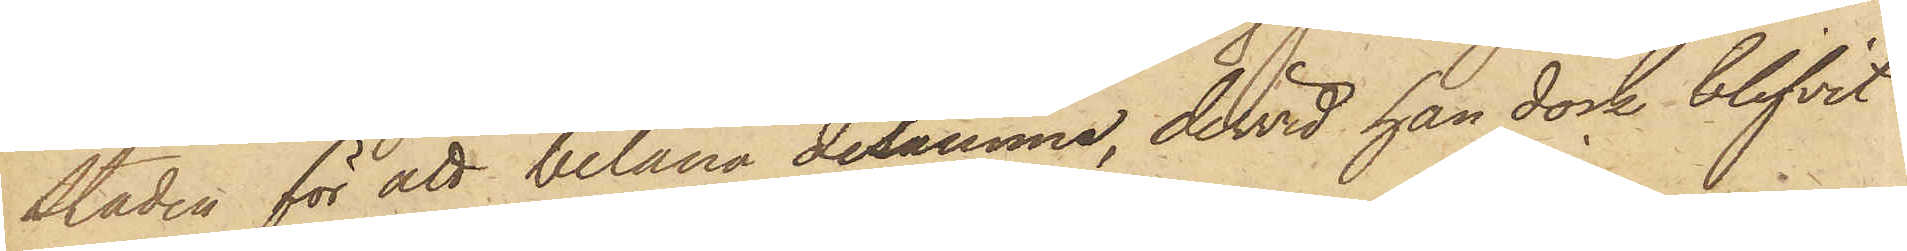Staden för att belåna desamma, dervid han dock blifvit
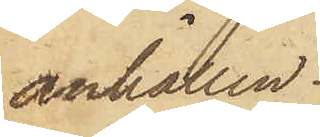anhållen.
